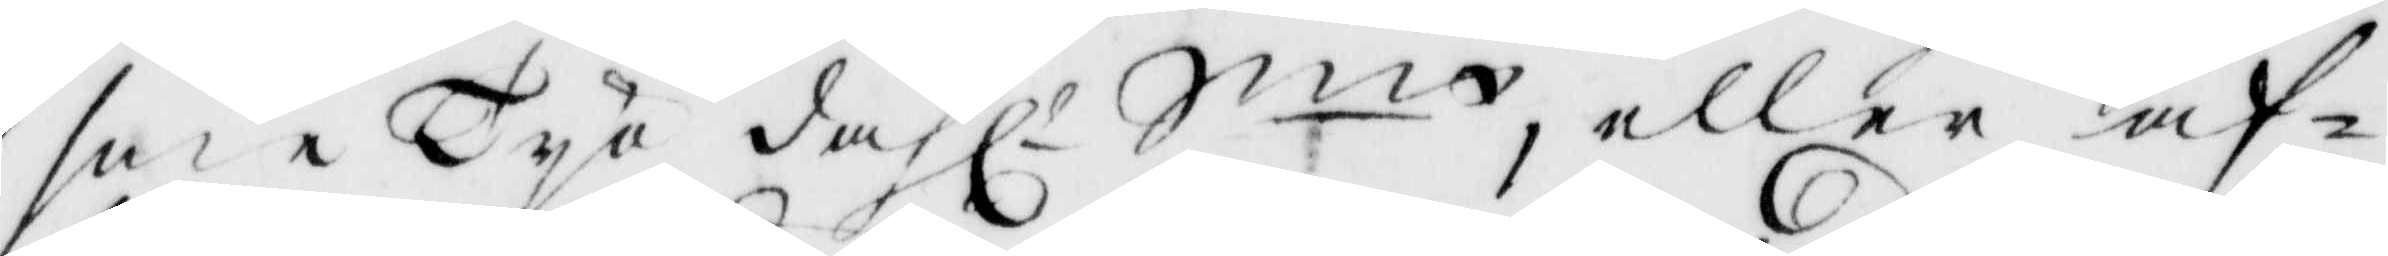sine Tyo dahl. Sm, eller af¬
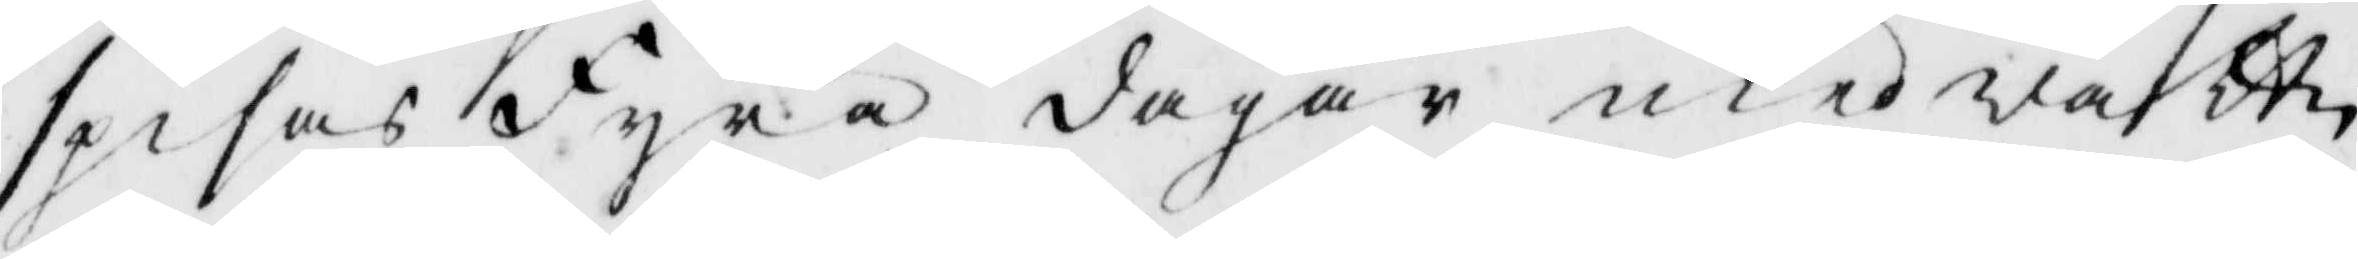spisas Fyra dagar med wattn
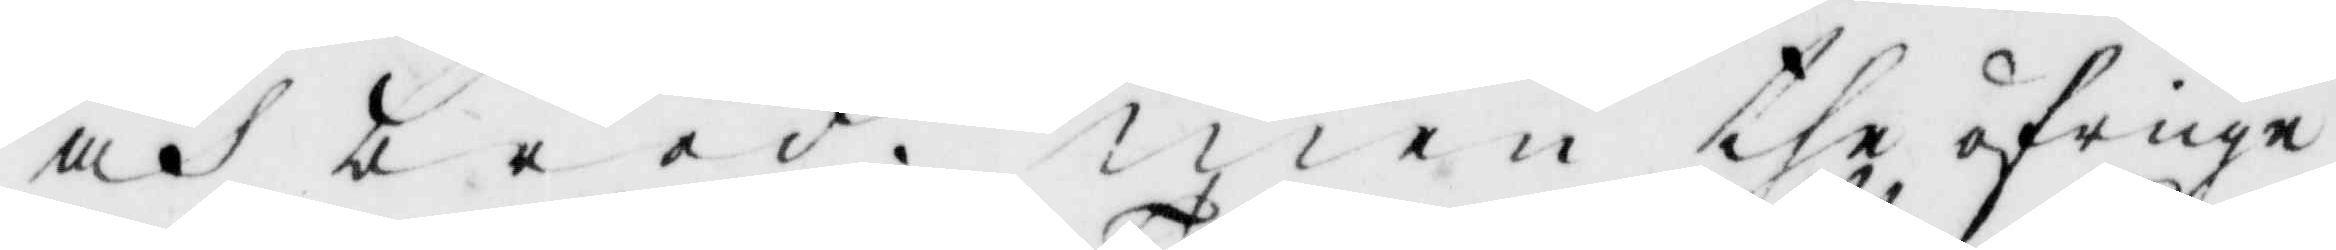och bröd. men the öfrige
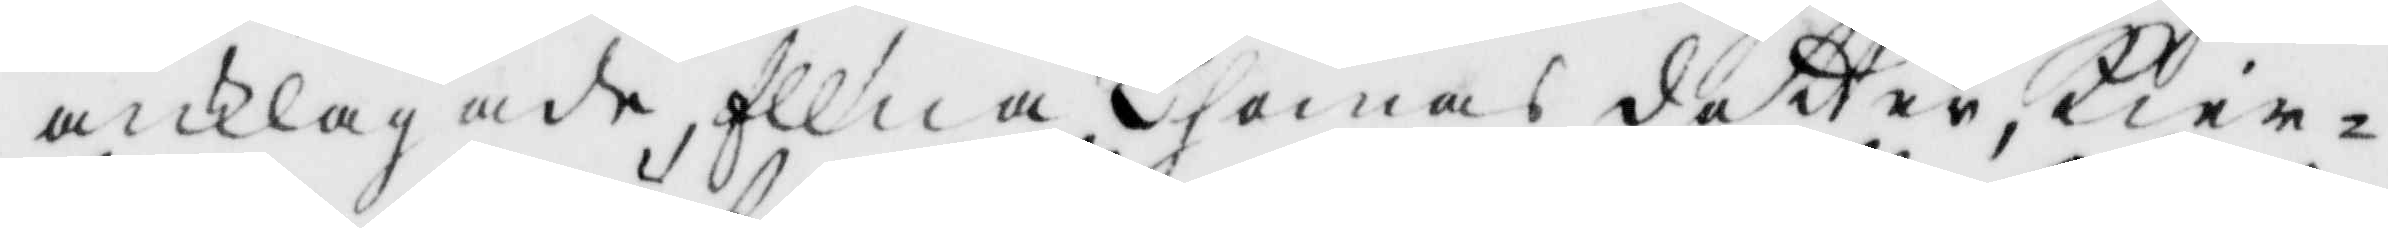anklagade, Ellna Thomas dotter, Kier¬
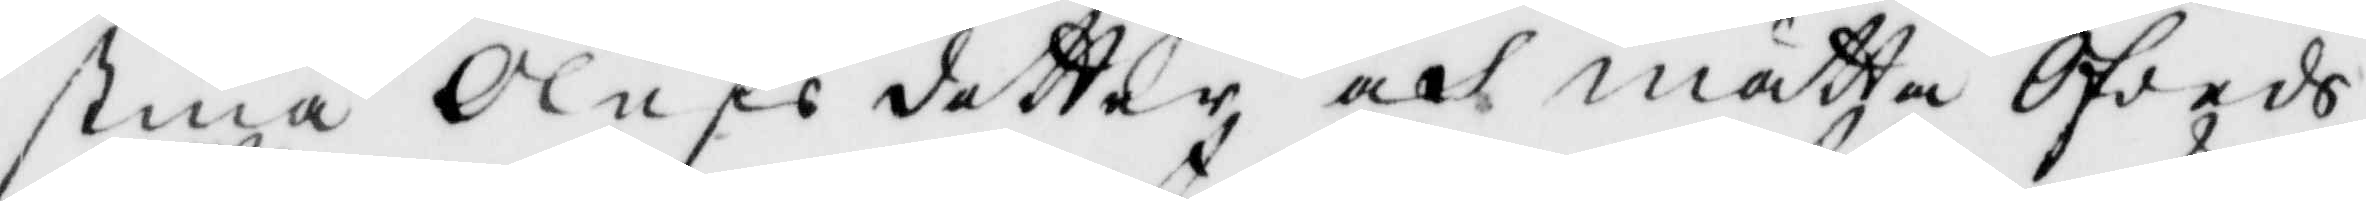stina Olufsdotter och Mätta Ofveds
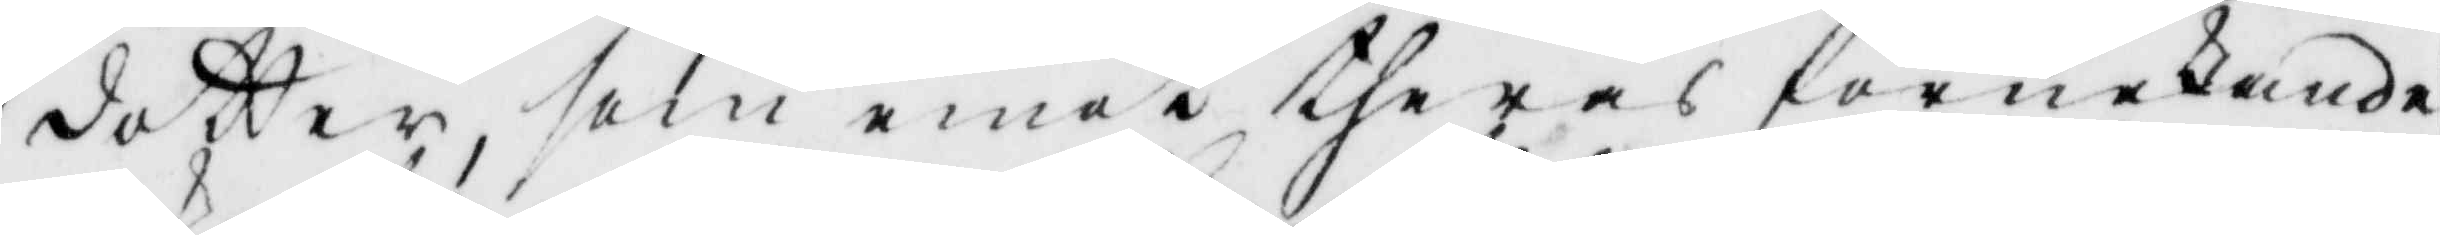dotter som emot theras förnekande
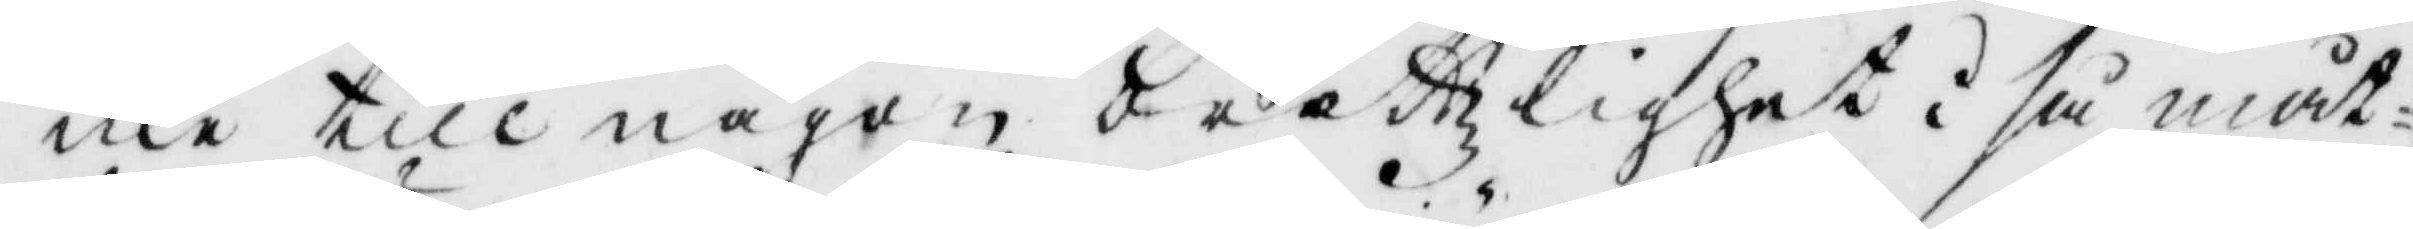icke till någon brottzlighet i så måt¬
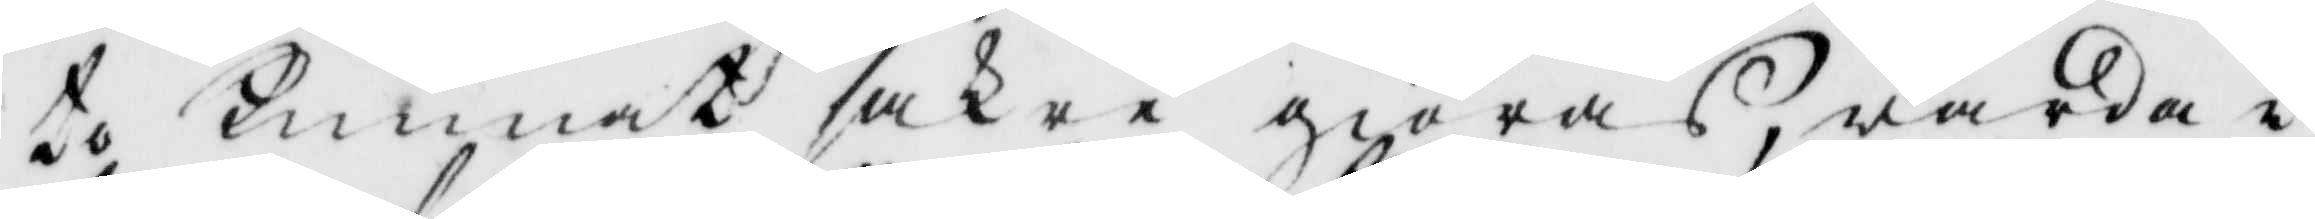to kunnat saker giöras, warder i
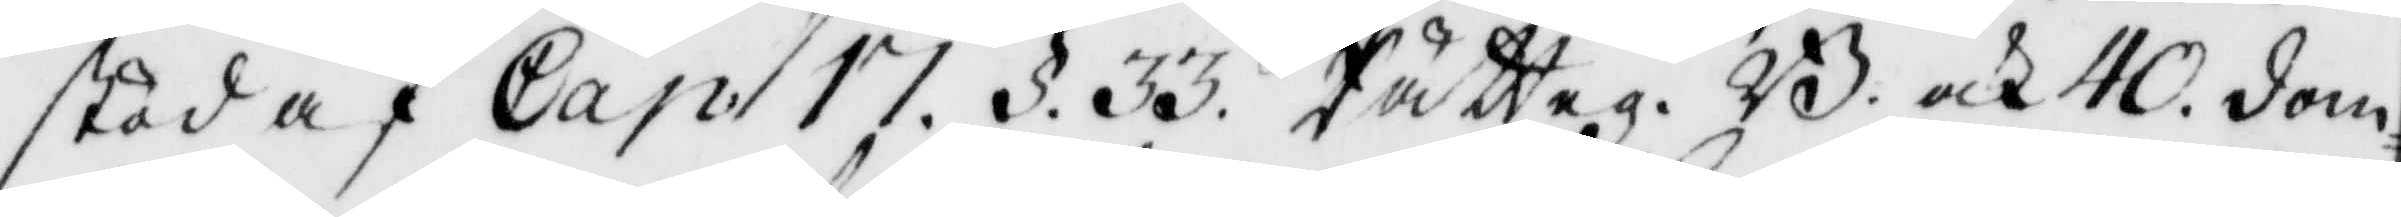stöd af Cap. 17. §. 33. Rätteg. B. och 40. dom¬
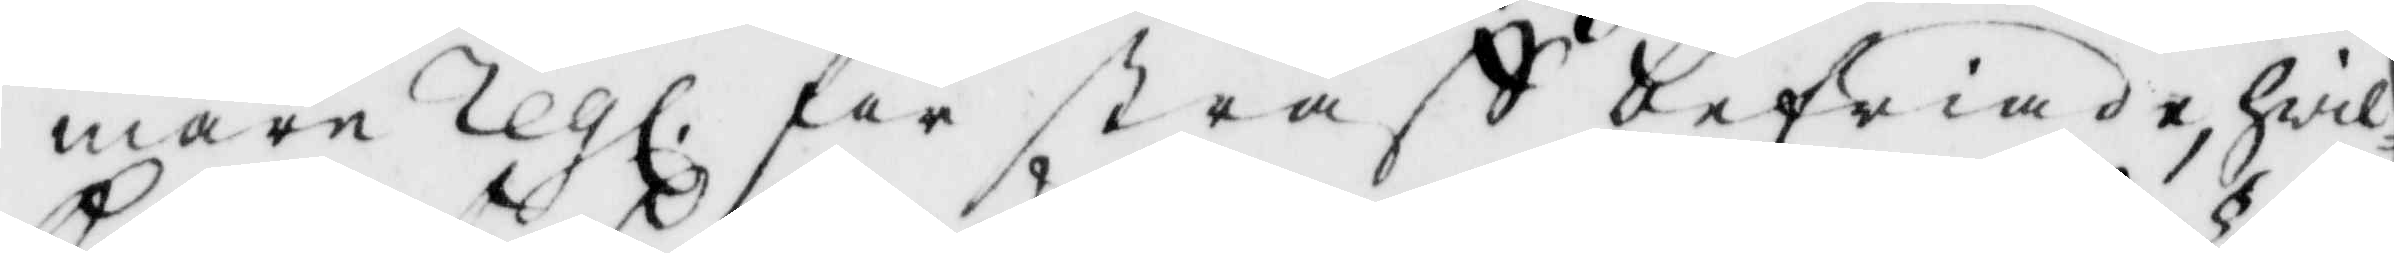mare regl. för straff befriande, hwil¬
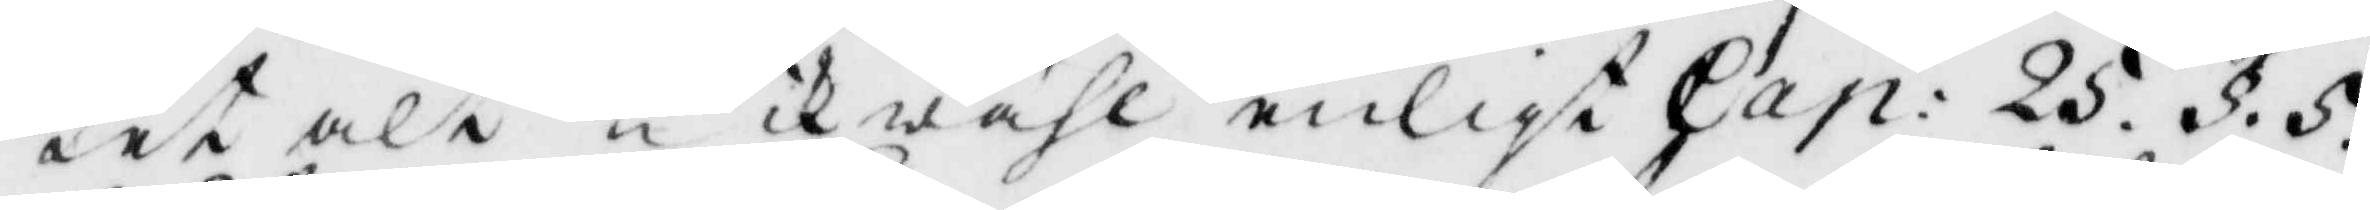ket alt likwähl enligt Cap: 25. §. 5.
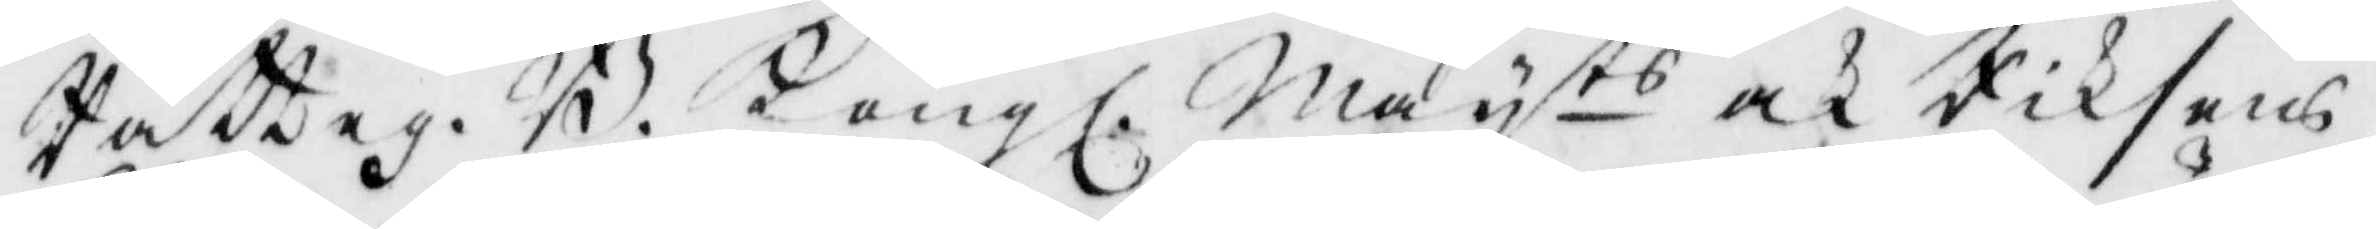Rätteg. B. Kongl. Mayts och Riksens
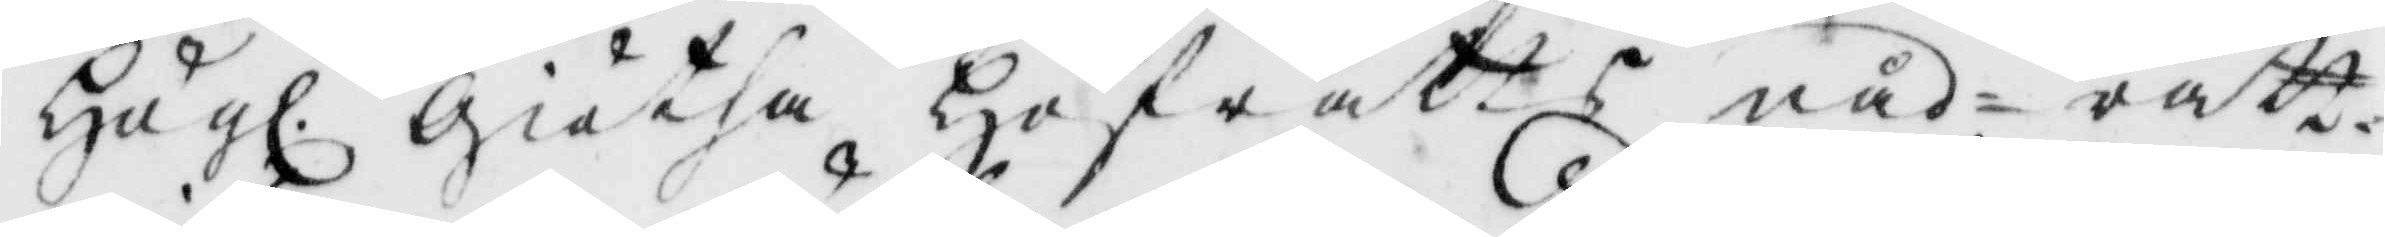Högl. Giötha Hofrätts nåd- rätt¬
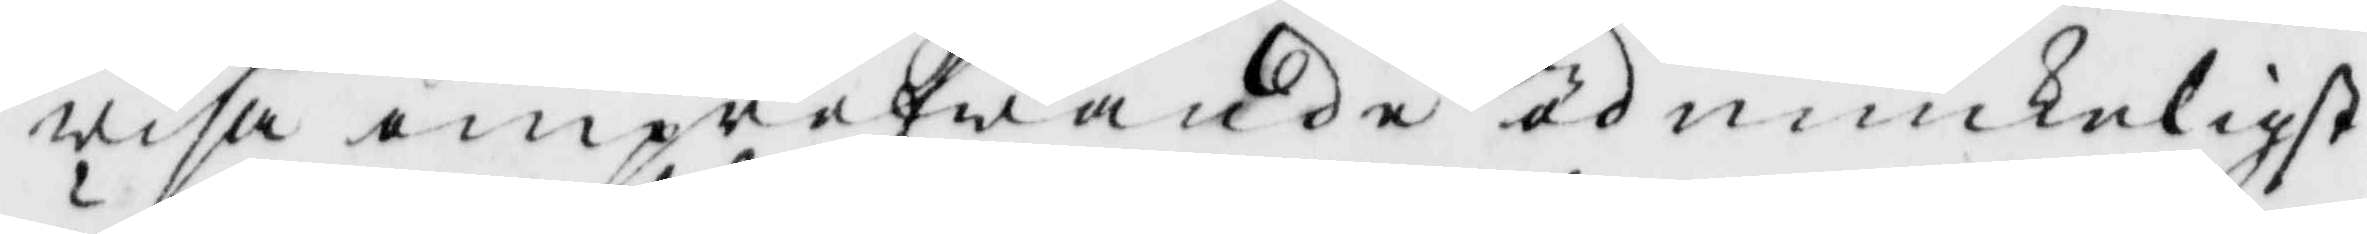wisa ompröfwande ödmiukeligst
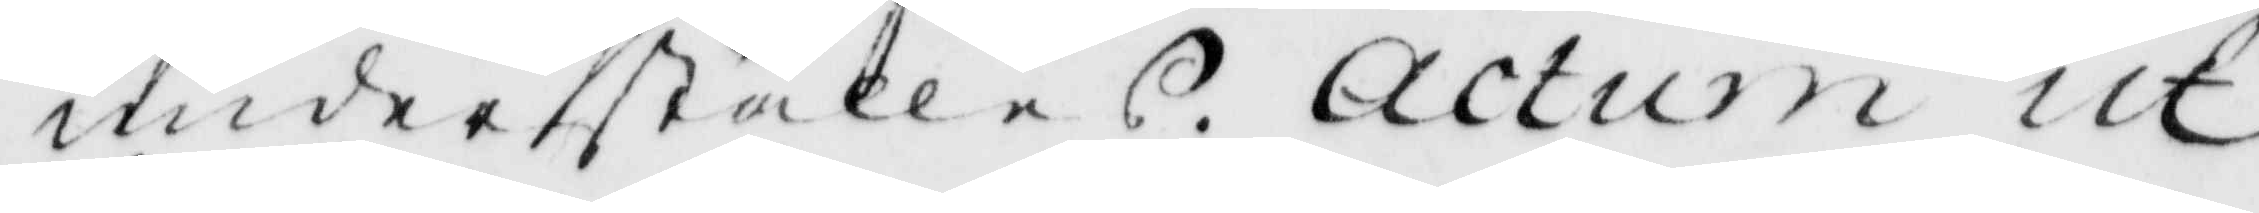underställes. Actum ut 
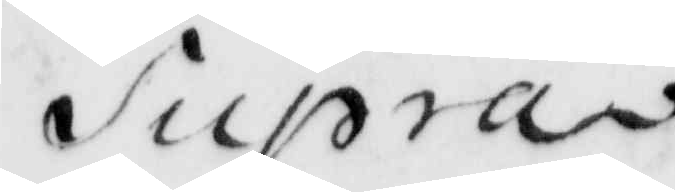Supra.
